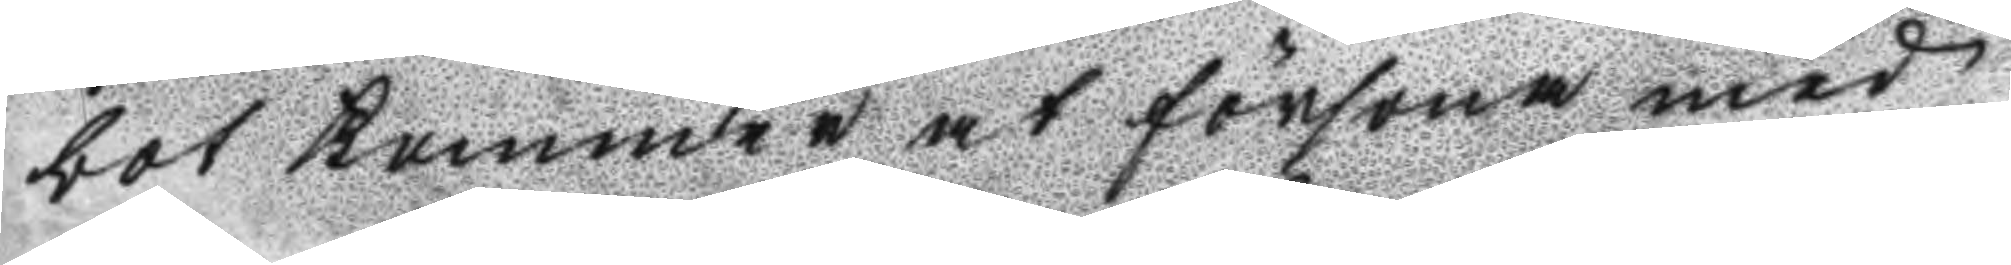bot kommer at försona med
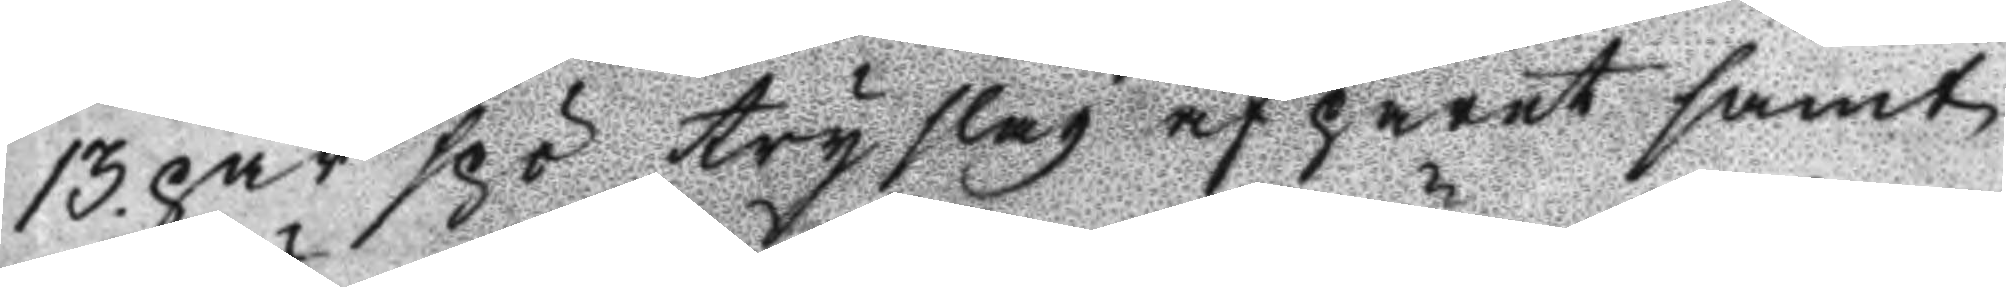13. par spö try slag af paret samt
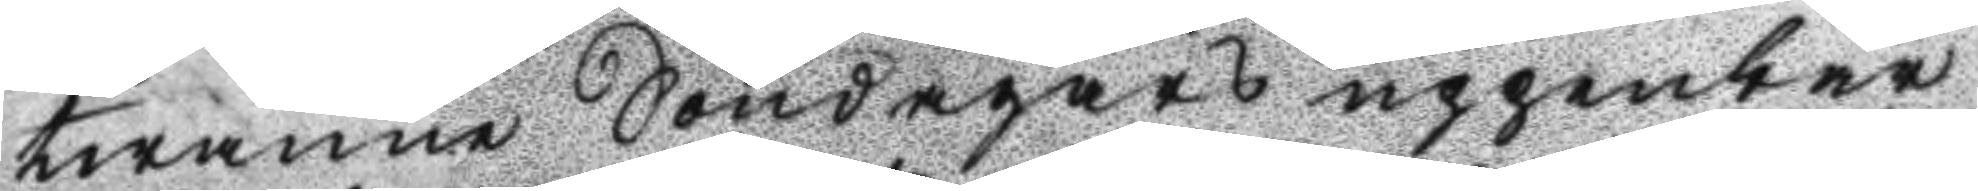twänne Söndagars uppenbar
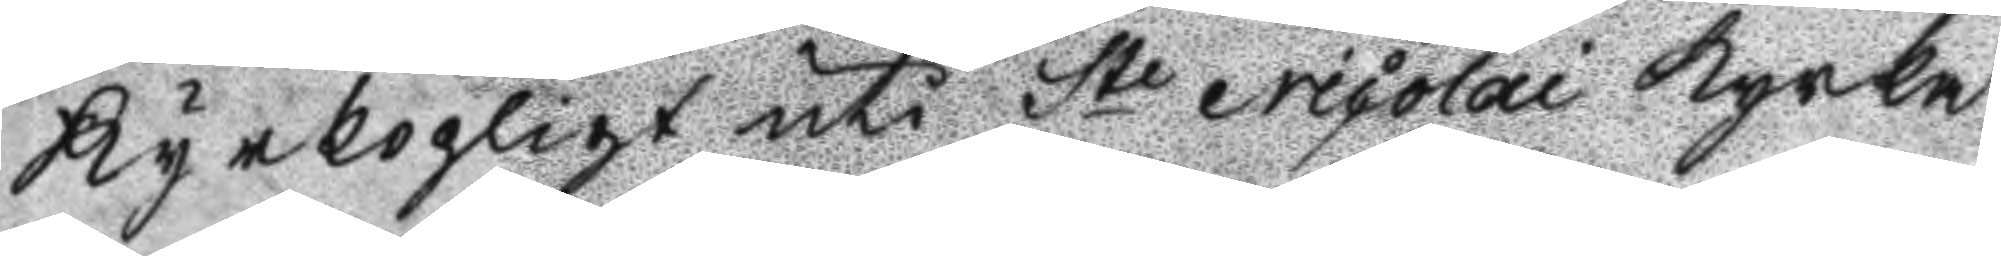Kyrkopligt uti St Nicolai Kyrka
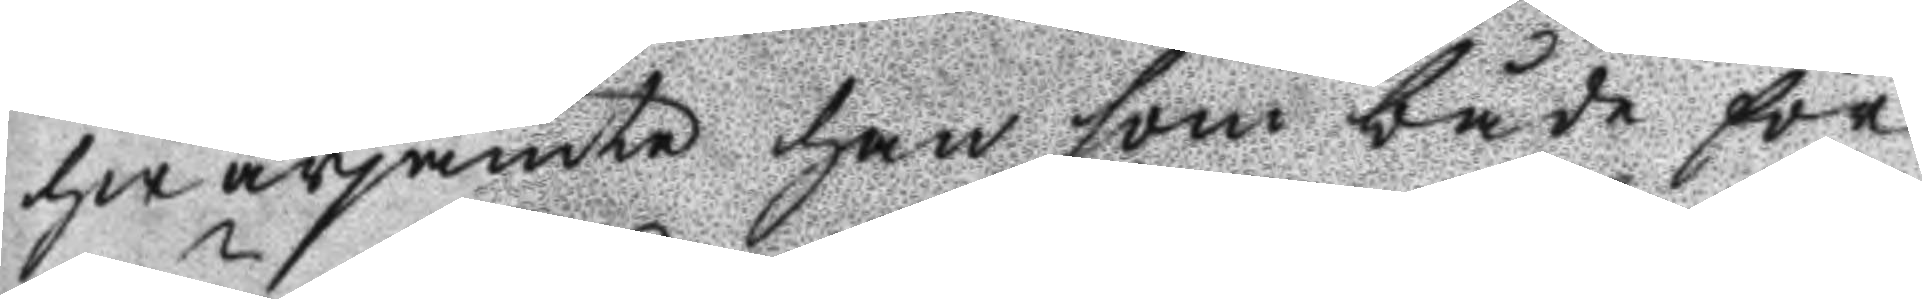hwarjämte han som både för
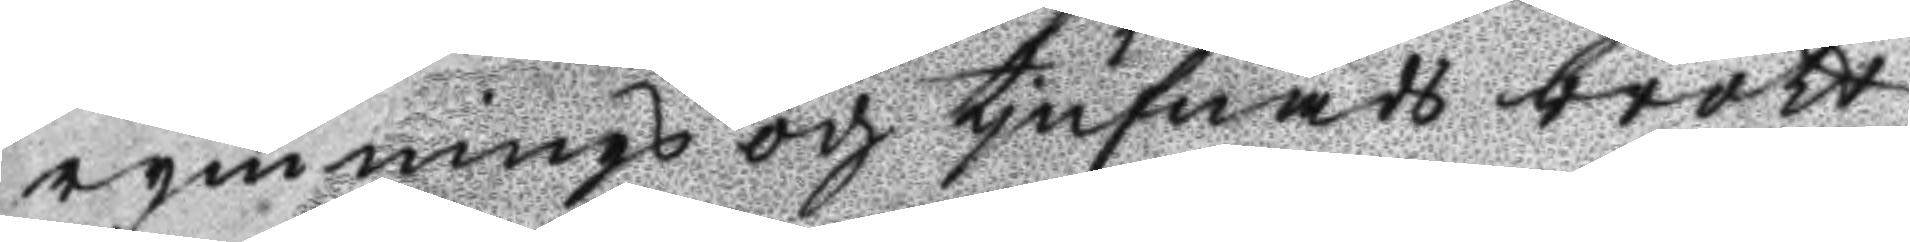rymnings och tjufnads brott
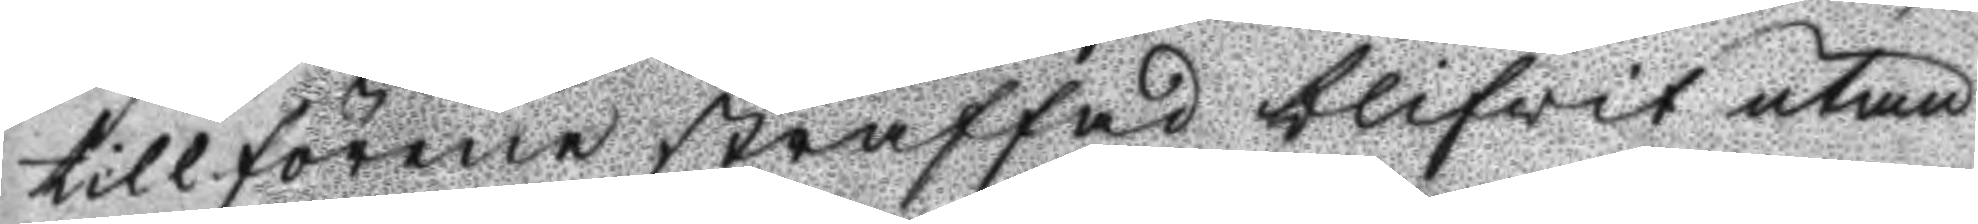tillförene straffad blifwit utan
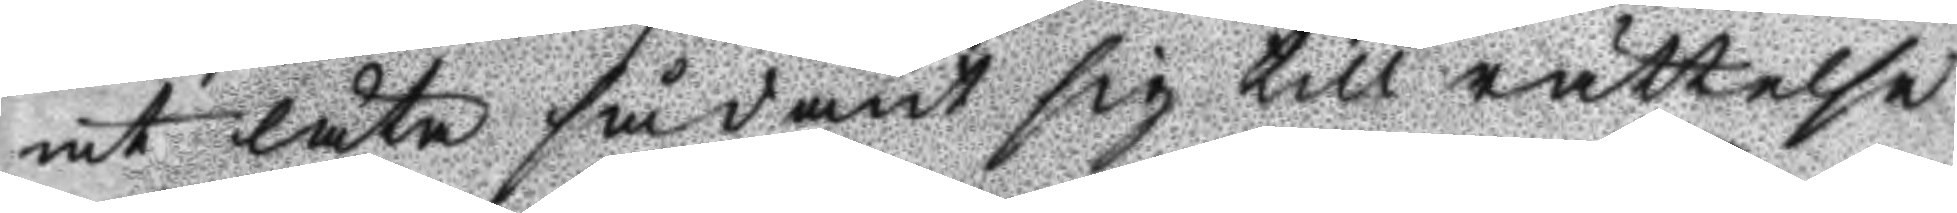at låta sådant sig till rättelse
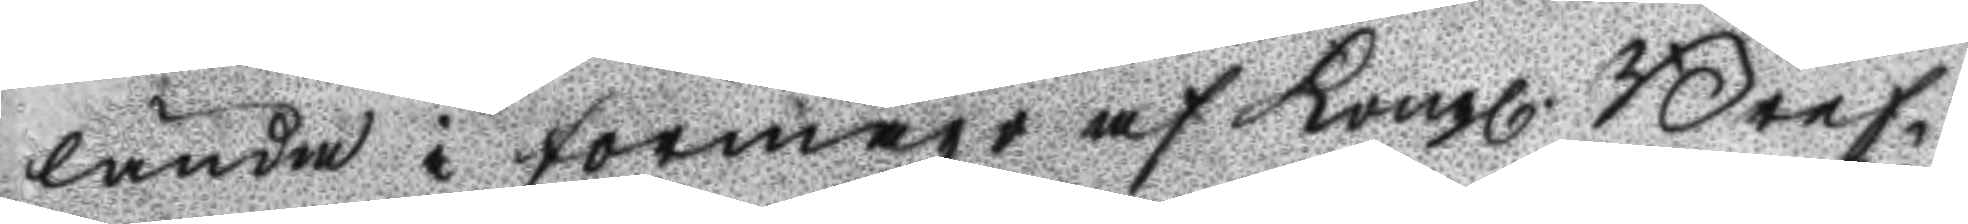lända i förmågo af Kongl. Bref¬
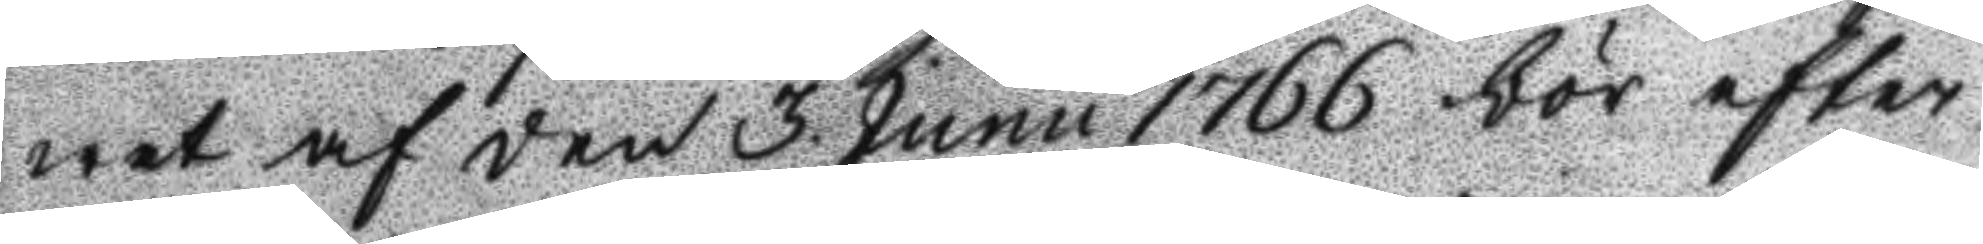wet af den 3. Junii 1766 bör efter
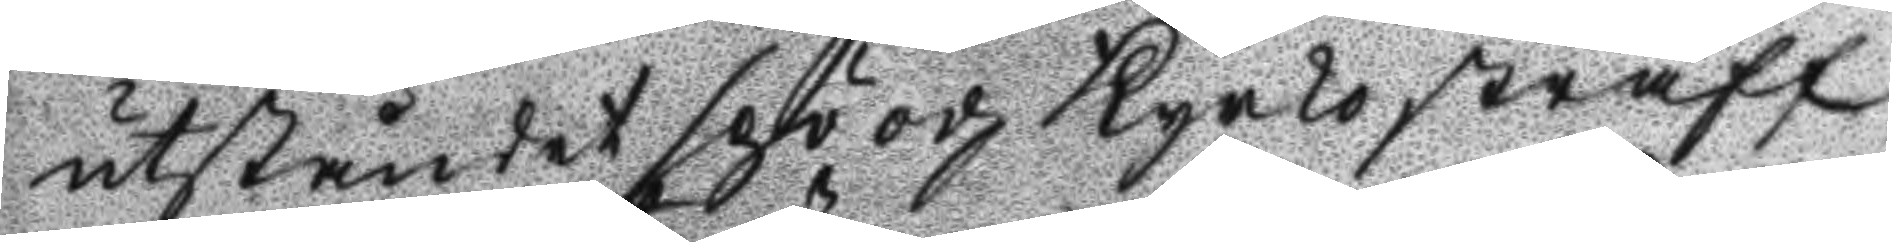utståndet spö och Kyrkostraff
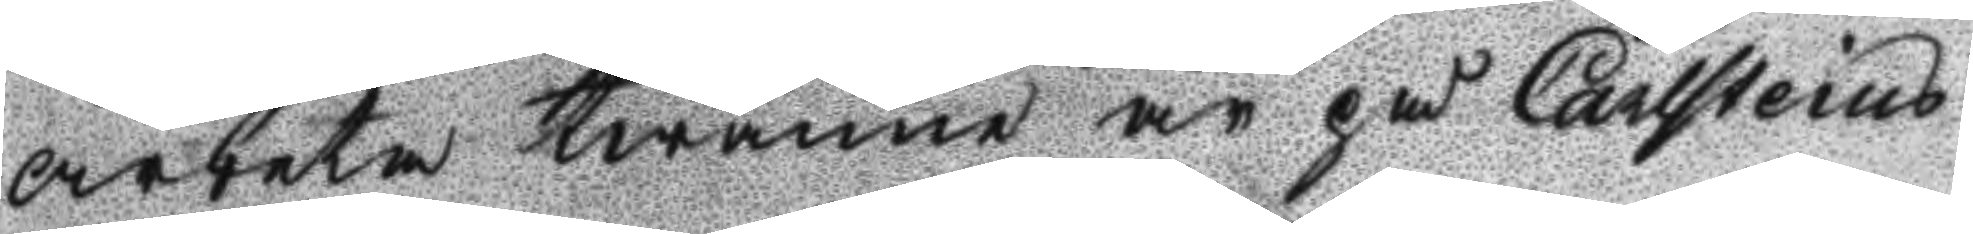arbeta twänne år på Carlsteins
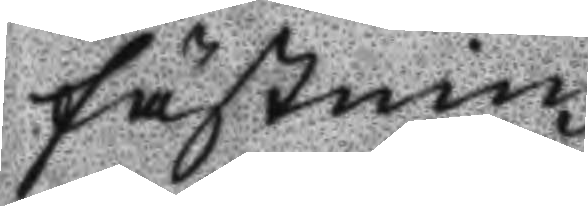fästning.
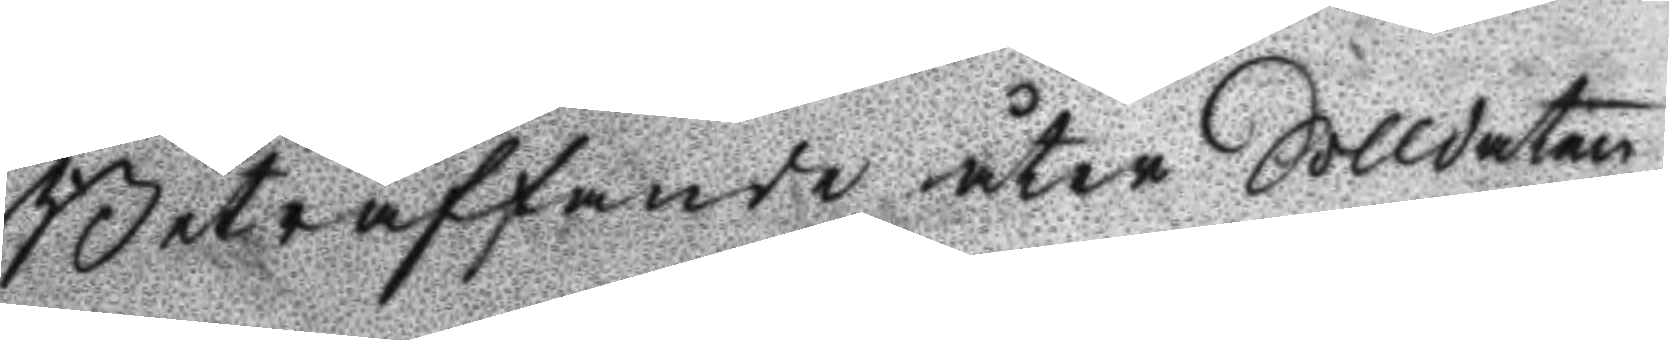Beträffande åter Solldaten
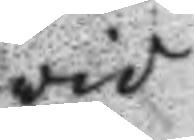vid
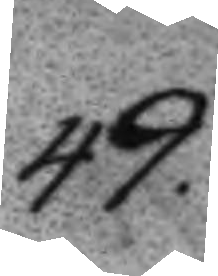49.
